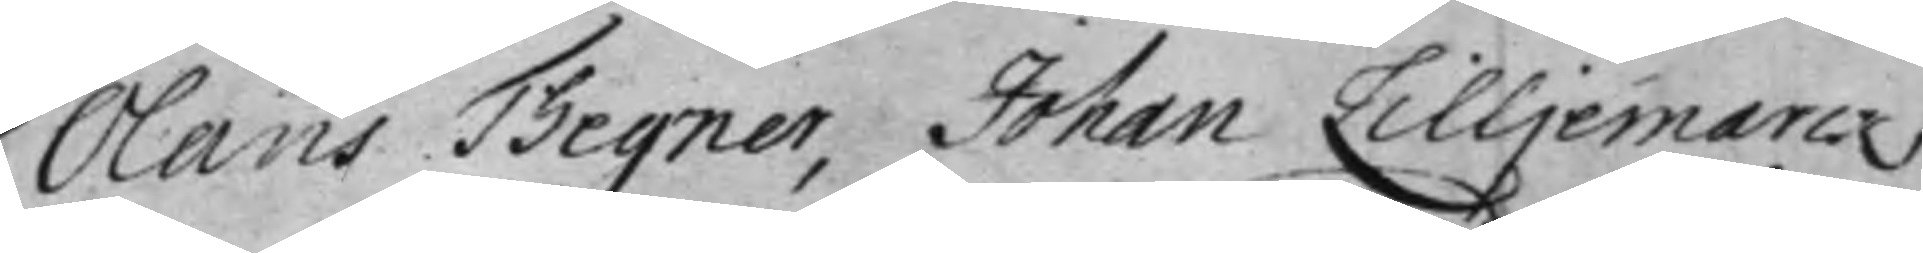Olaus Thegner, Johan Lilljemarck
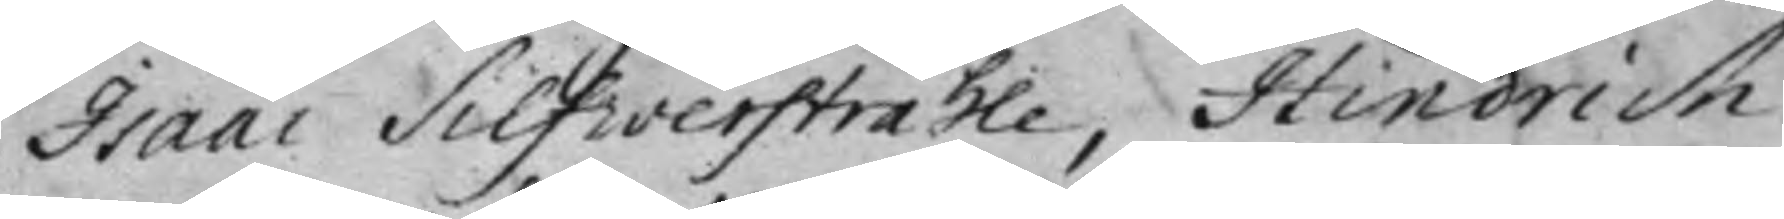Isaac SIlfverstråhle, Hindrich
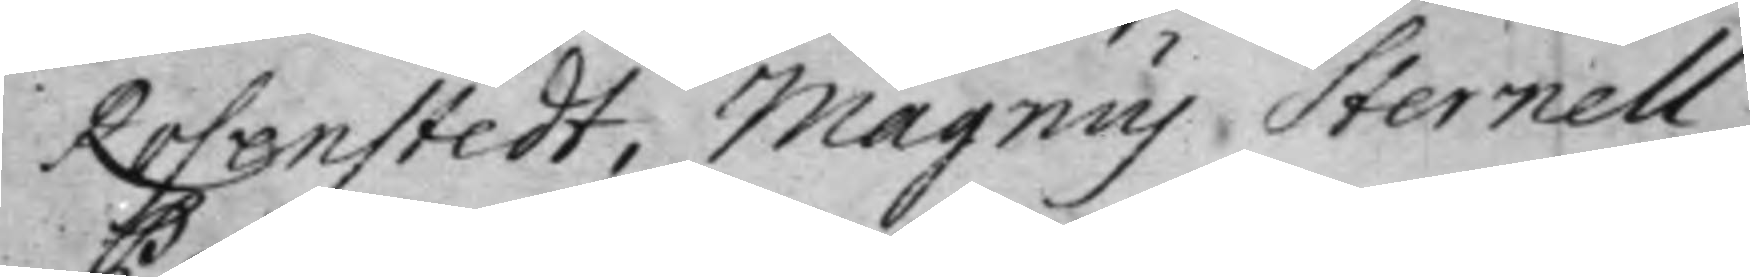Rosenstedt, Magnus Sternell,
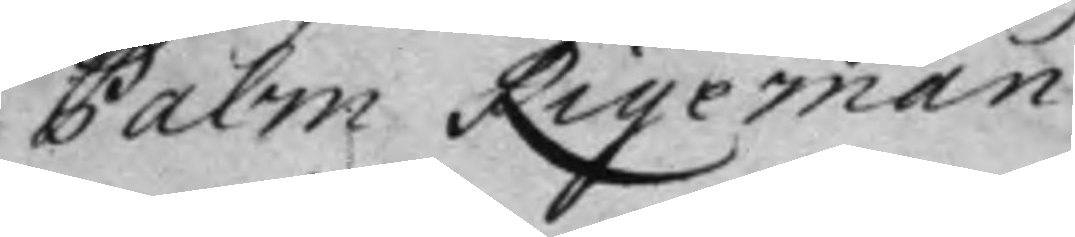Palm Rigerman.
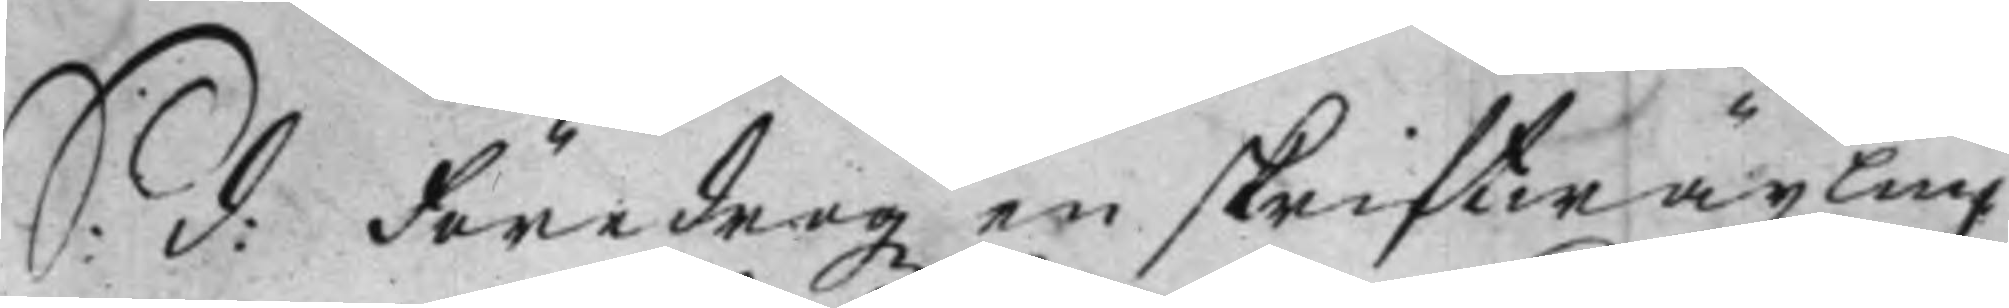S: d: Föredrogz en skriftwäxling
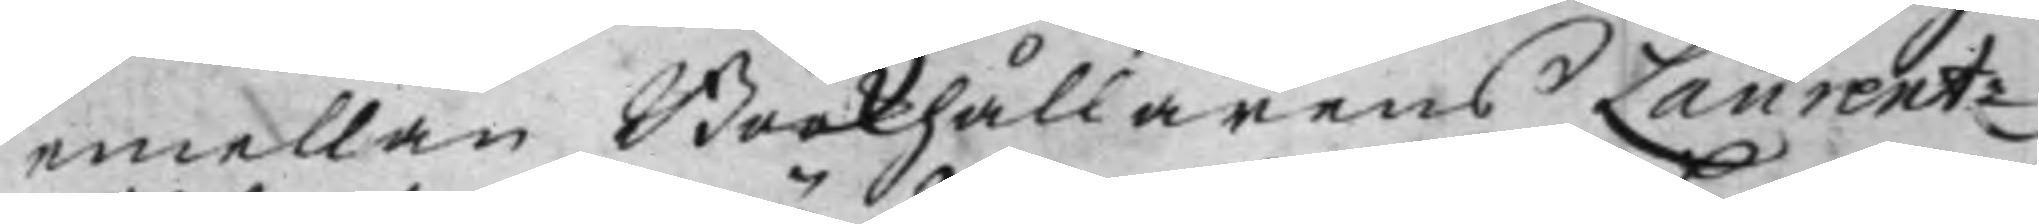emellan Bookhållarens Laurentz
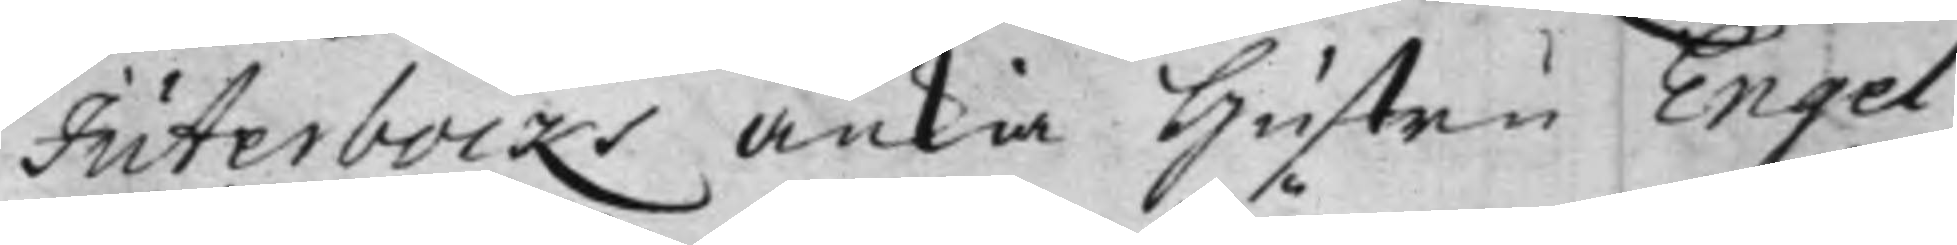Juterbocks Änkia Hustru Engel
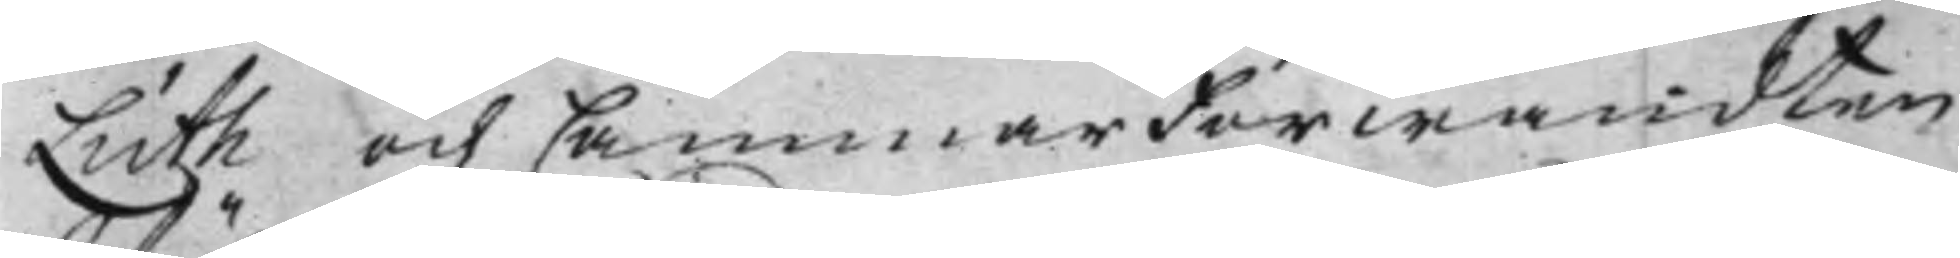Luth och Cammar Förwandten
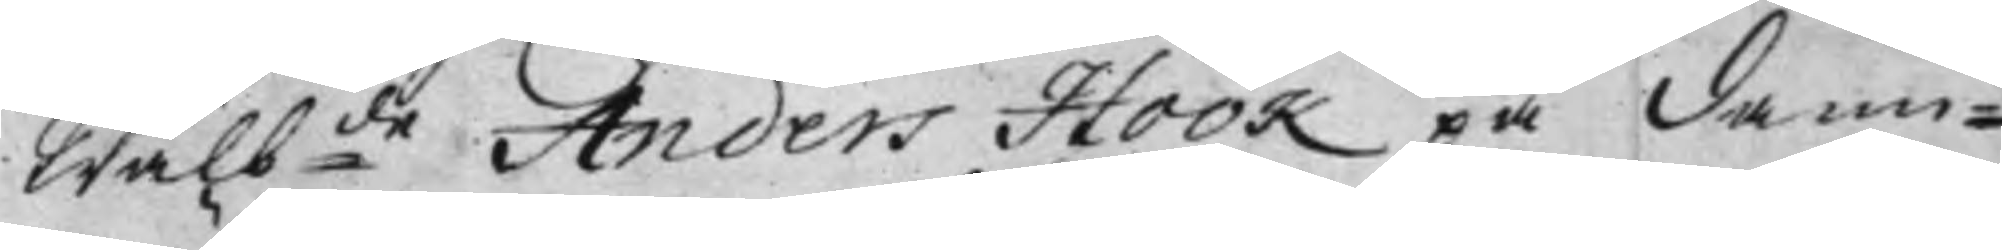Wälb:de Anders Höök på Dann¬
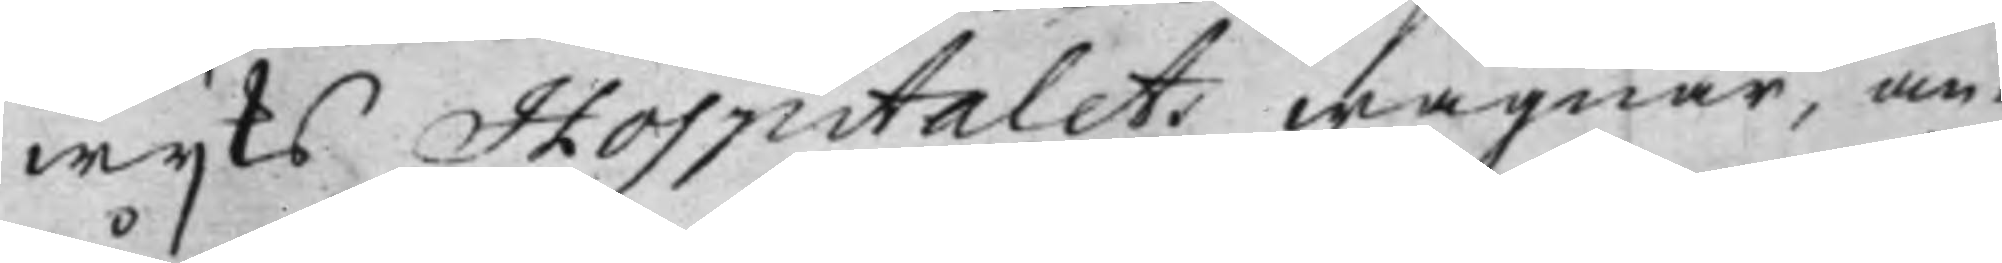wijks Hospitalets wägnar, an¬
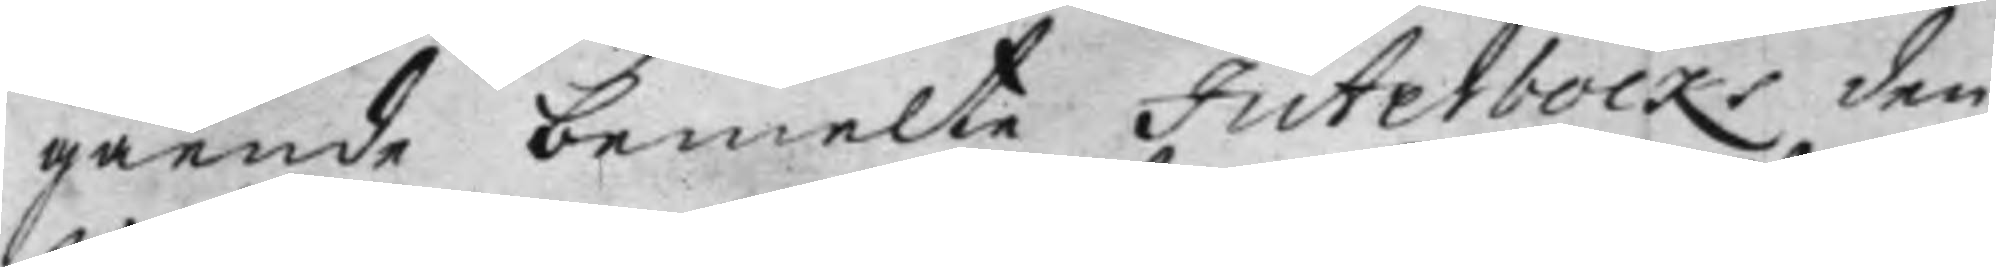gående bemelte Juterbocks den
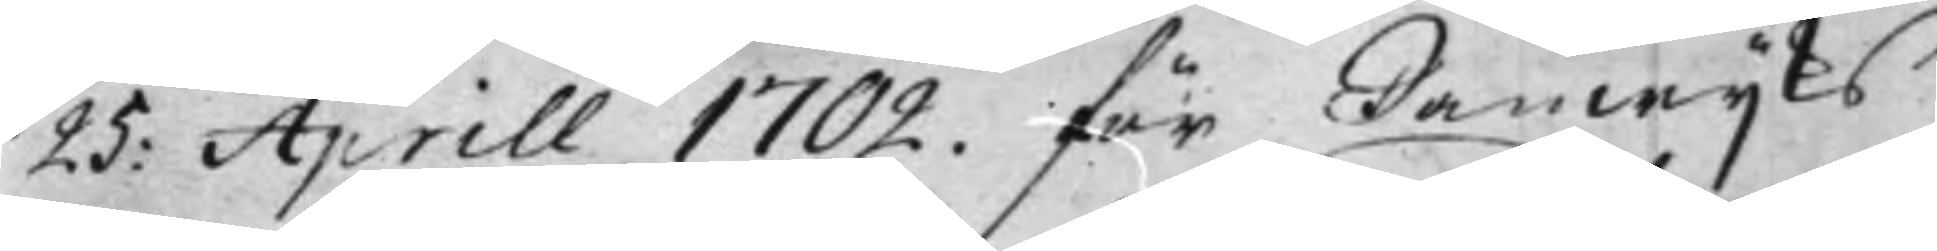25: Aprill 1702. för Danwijks
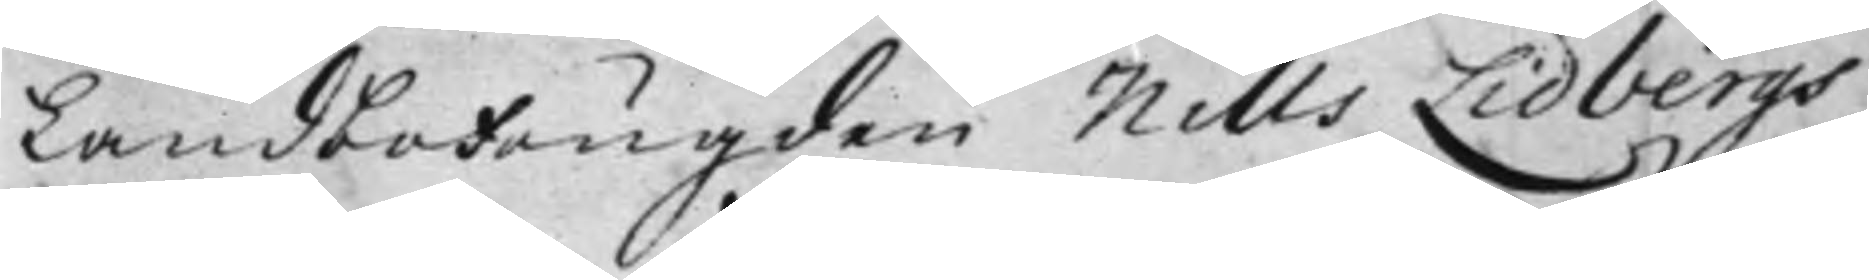Landbo Fougden Nills Lidbergs
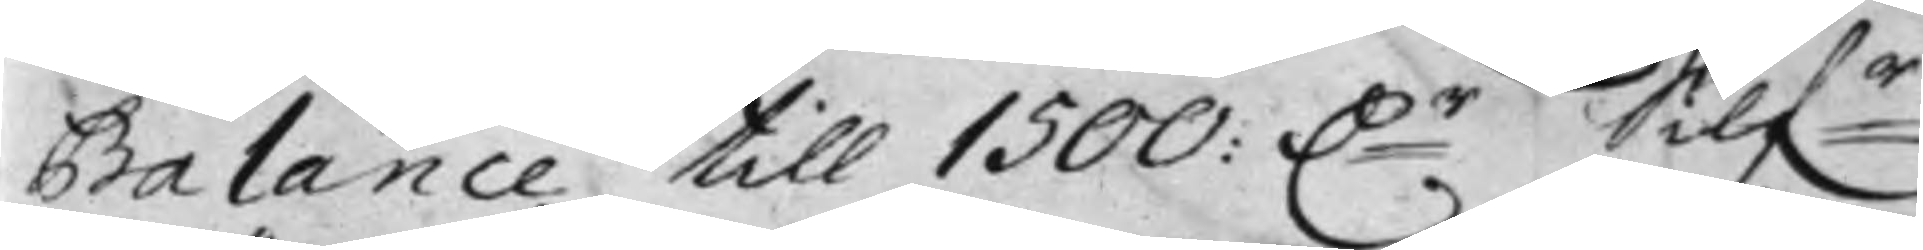Balance till 1500: D:r Silf:r
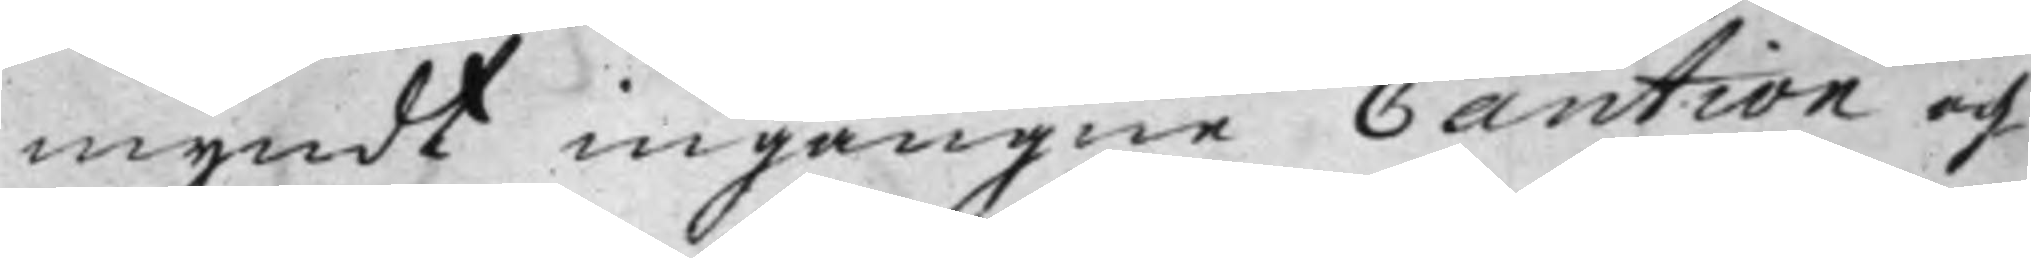myndt ingångne Caution och
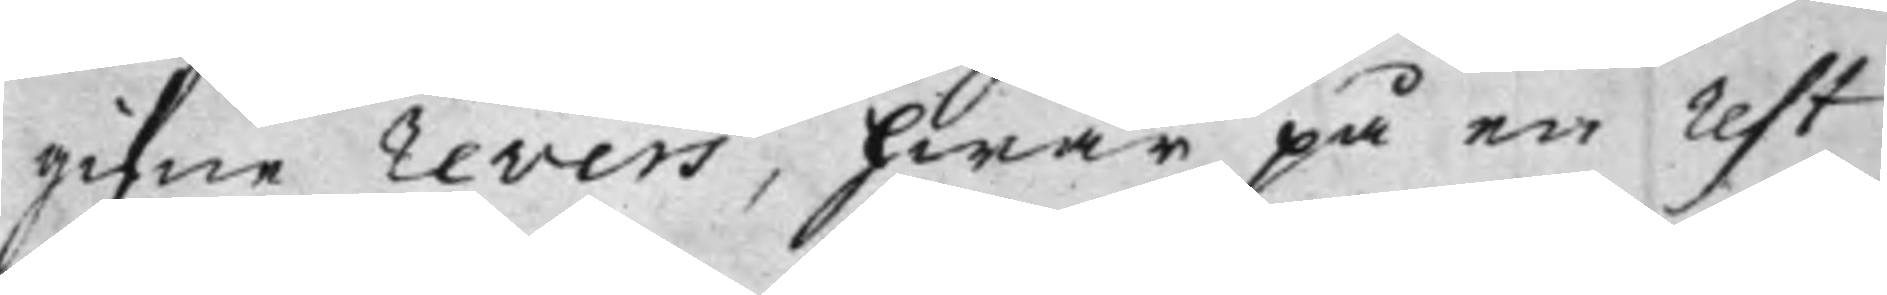gifne Revers, hwar på en Rest
